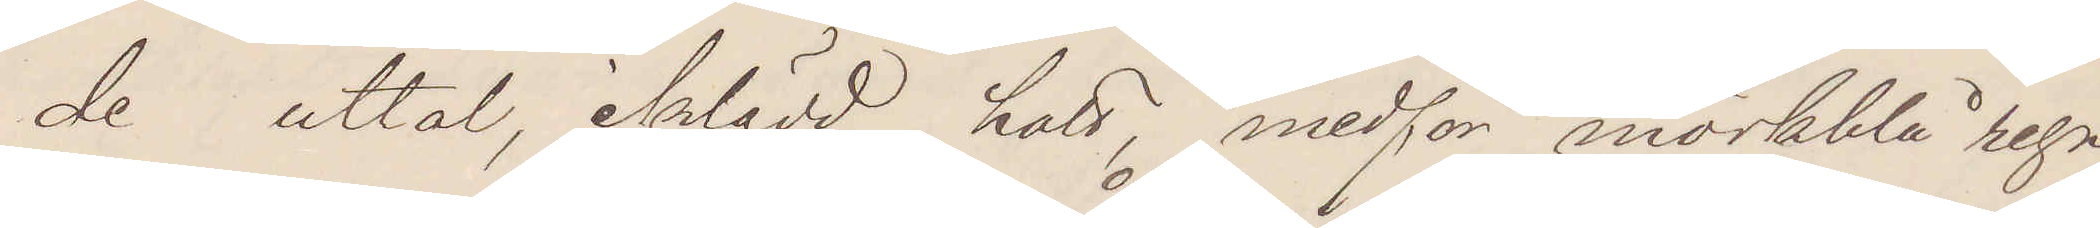de uttal, iklädd hatt, medför mörkblå regn¬
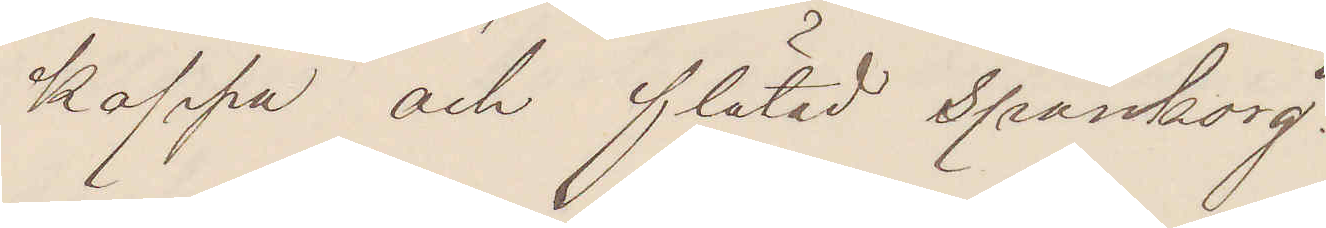kappa och flätad spånkorg.
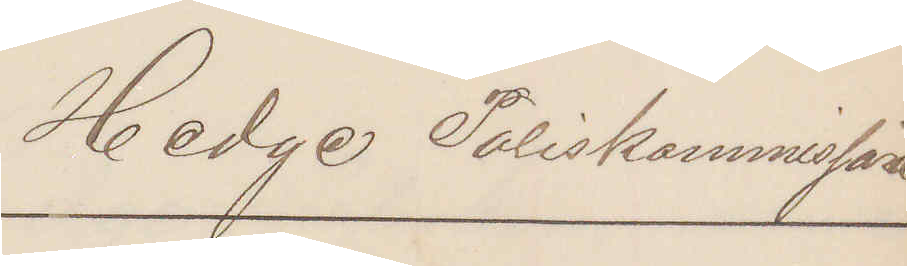Hedge Poliskommissarie
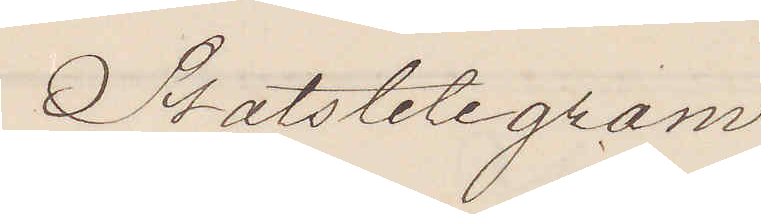Statstelegram
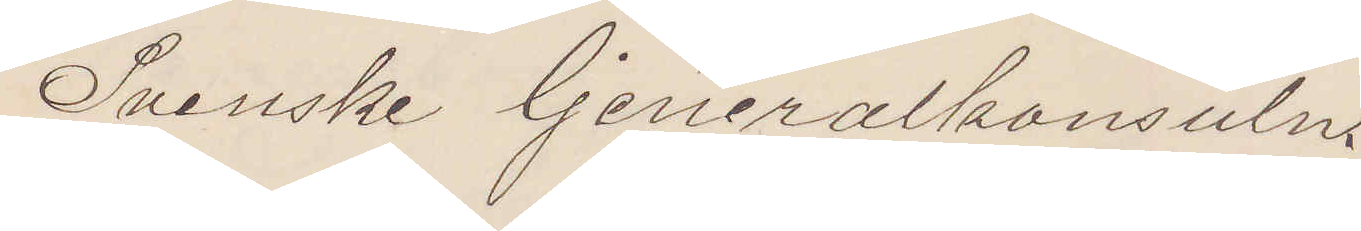Svenske Generalkonsuln.
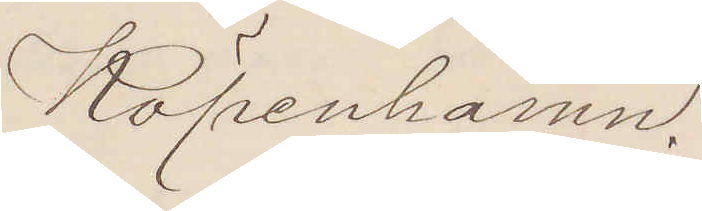Köpenhamn.
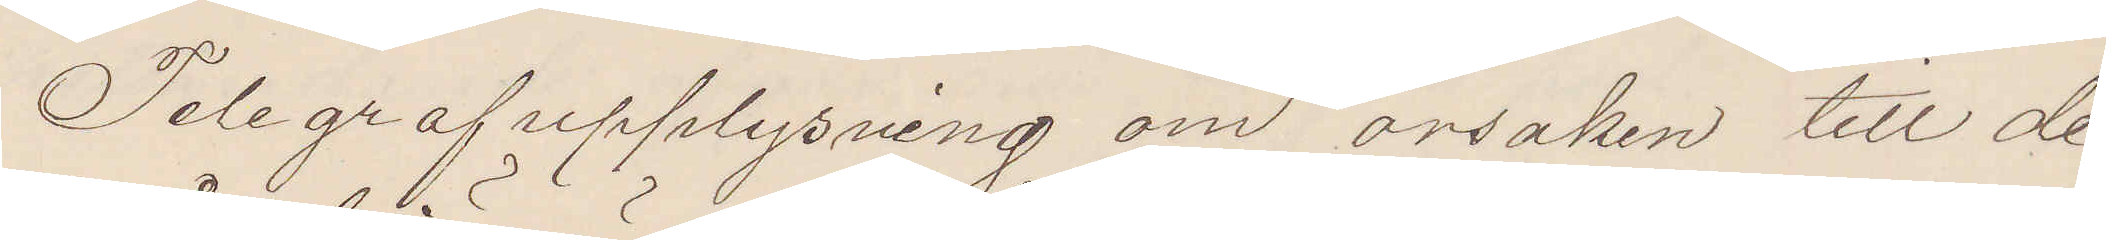Telegrafupplysning om orsaken till de
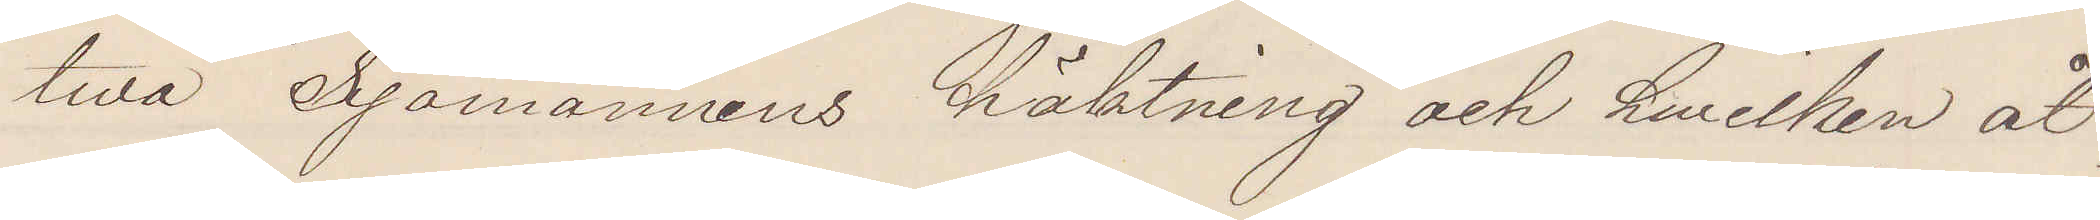twå Sjömännens häktning och hwilken åt¬
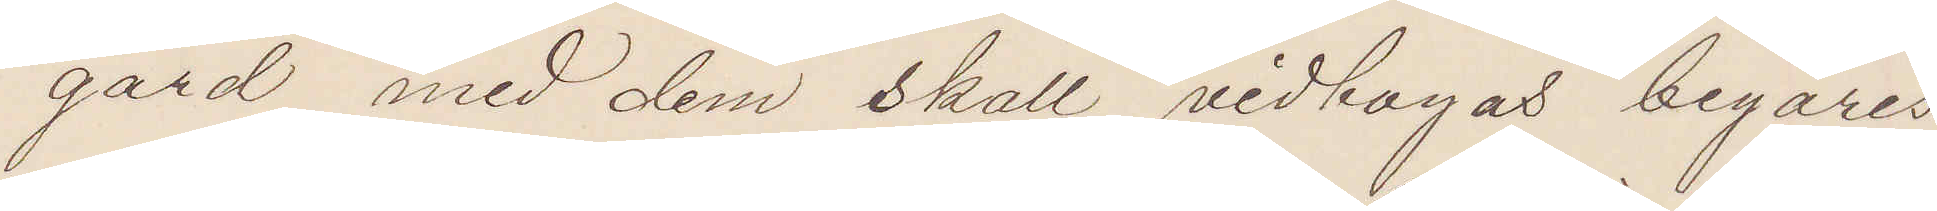gärd med dem skall vidtagas begäres
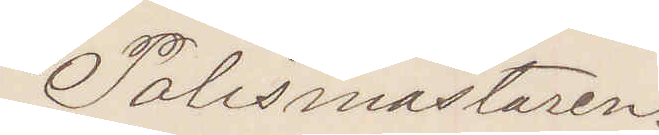Polismästaren.
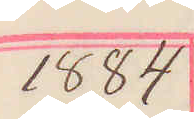1884
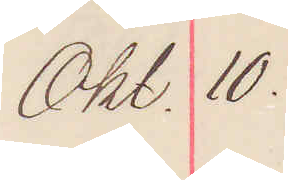Okt. 10.
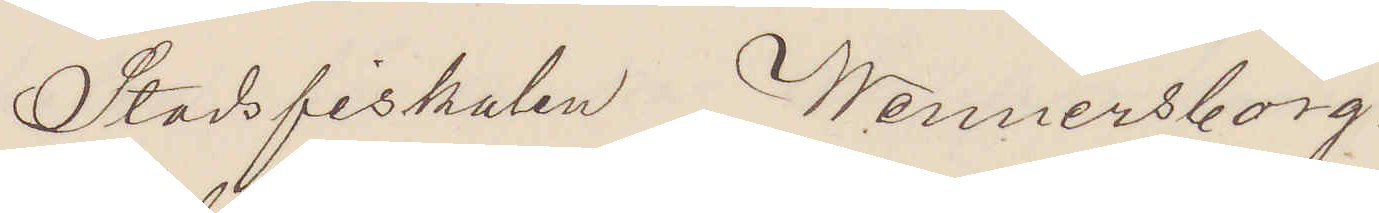Stadsfiskalen Wenersborg.
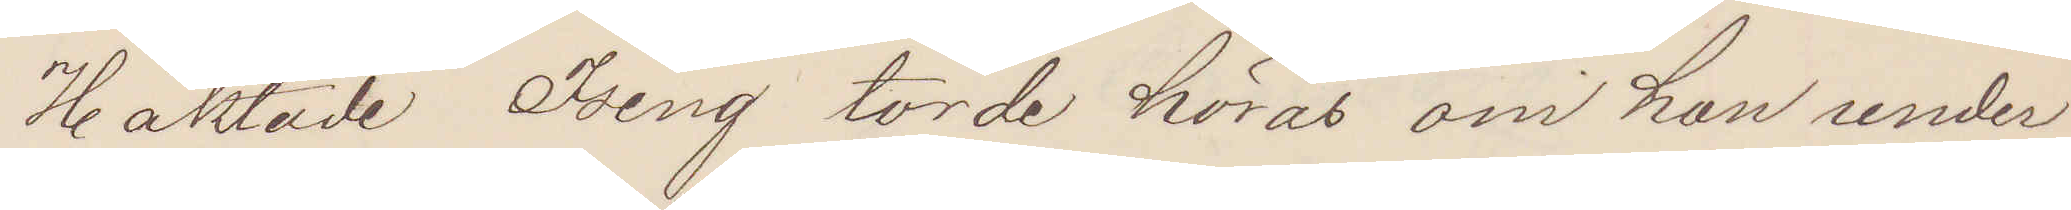Häktade Ising torde höras om han under
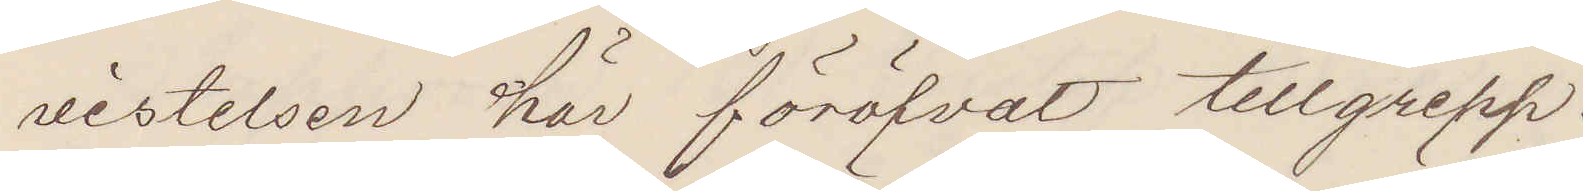vistelsen här föröfvat tillgrepp.
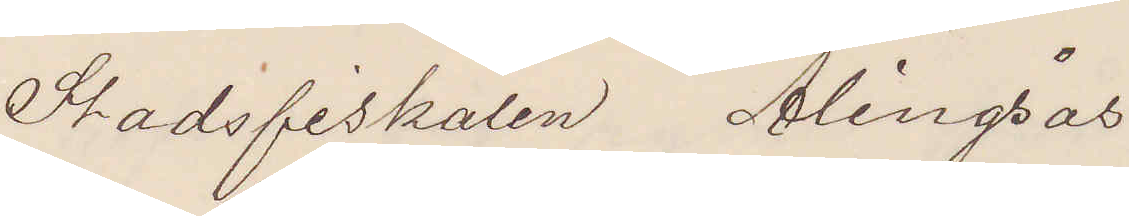Stadsfiskalen Alingsås
